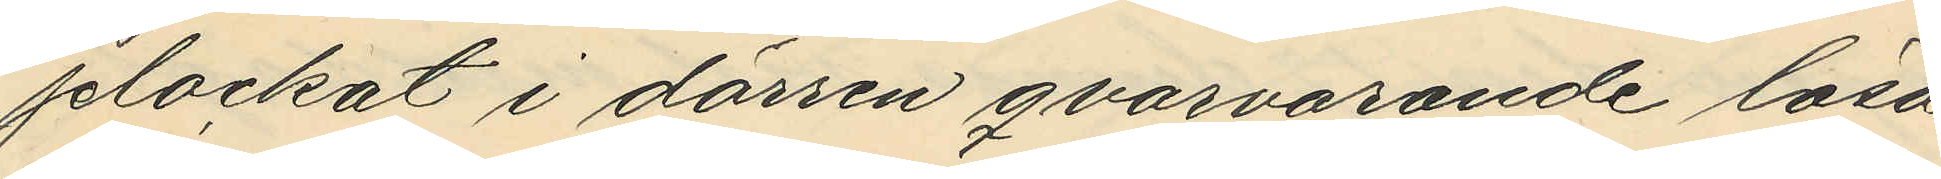plockat i dörren qvarvarande lösa
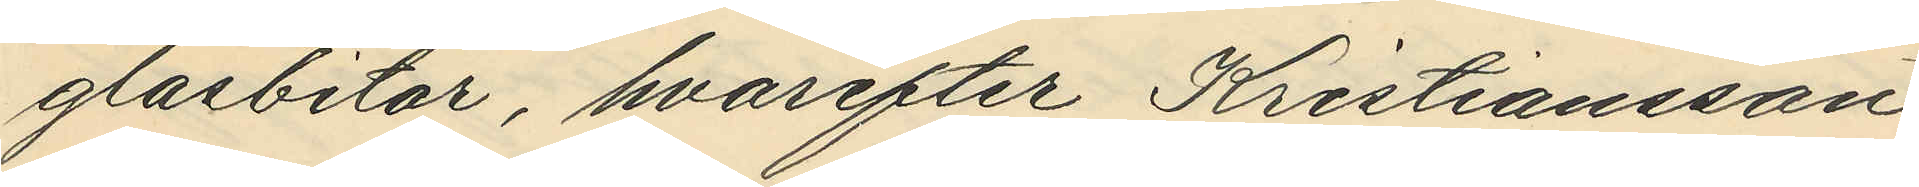glasbitar, hvarefter Kristiansson
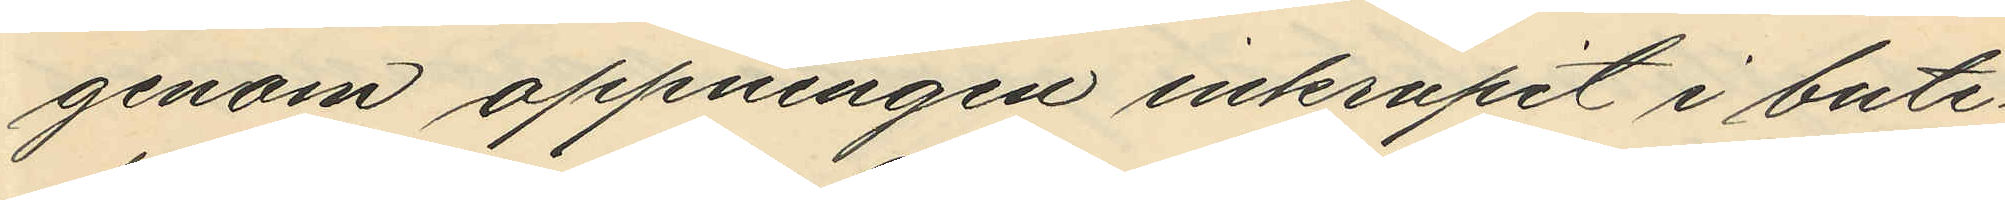genom oppningen inkrupit i buti¬
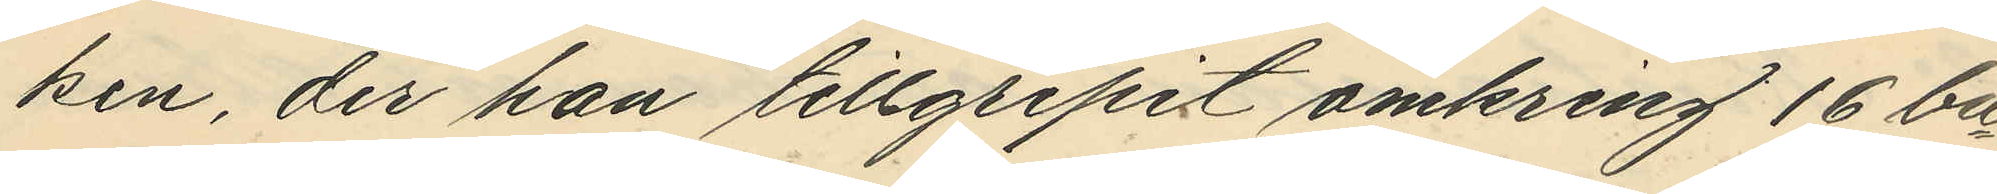ken, der han tillgripit omkring 16 bu¬
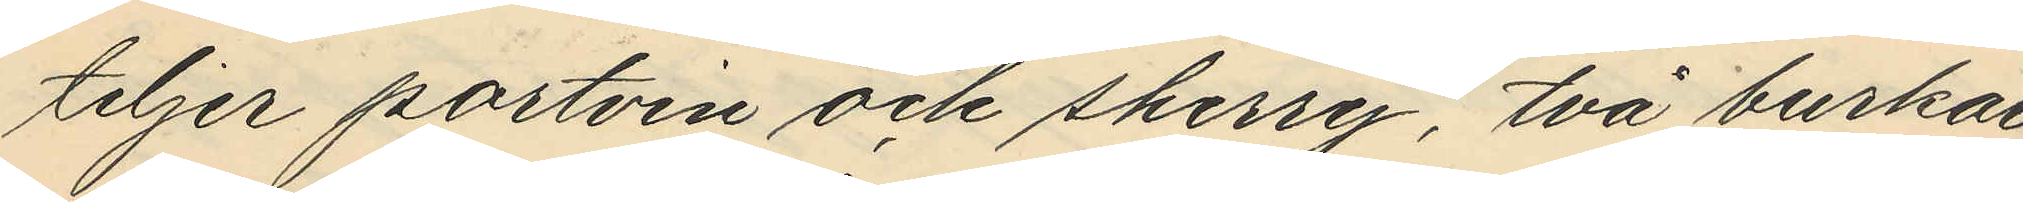teljer portvin och sherry, två burkar
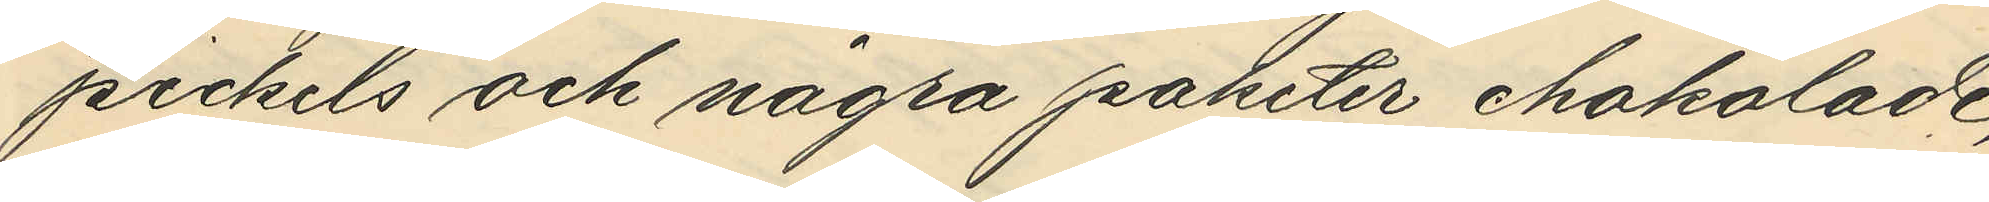pickels och några paketer chokolade,
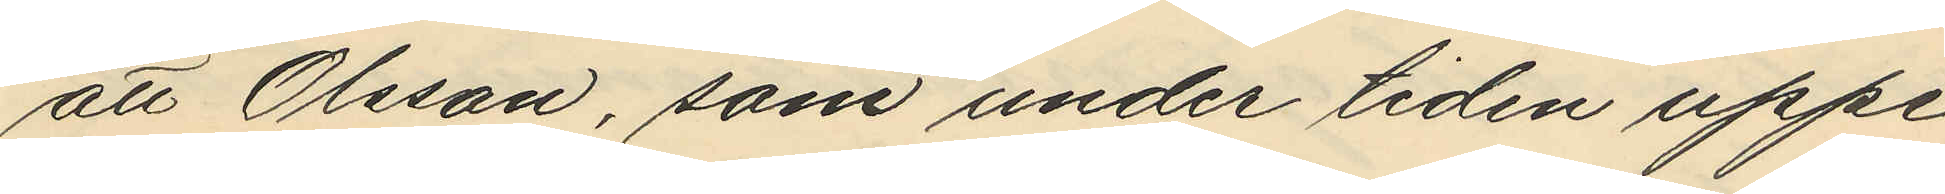att Olsson, som under tiden uppe¬
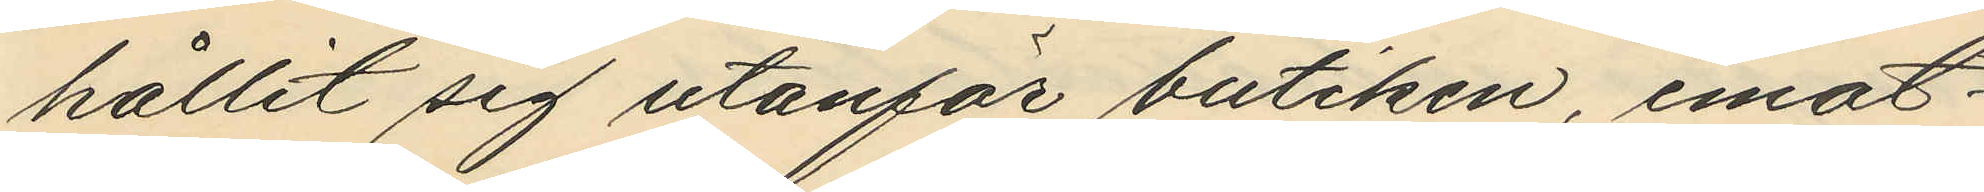hållit sig utanför butiken, emot¬
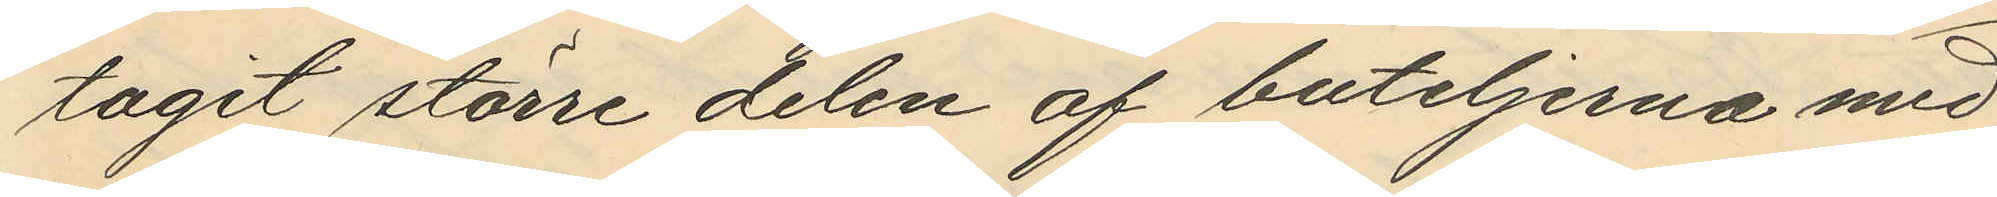tagit större delen af buteljerna med
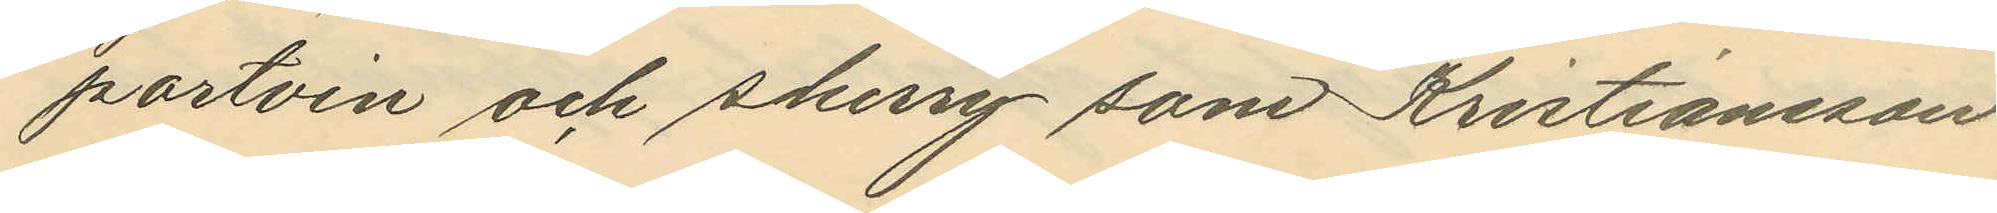portvin och sherry som Kristiansson
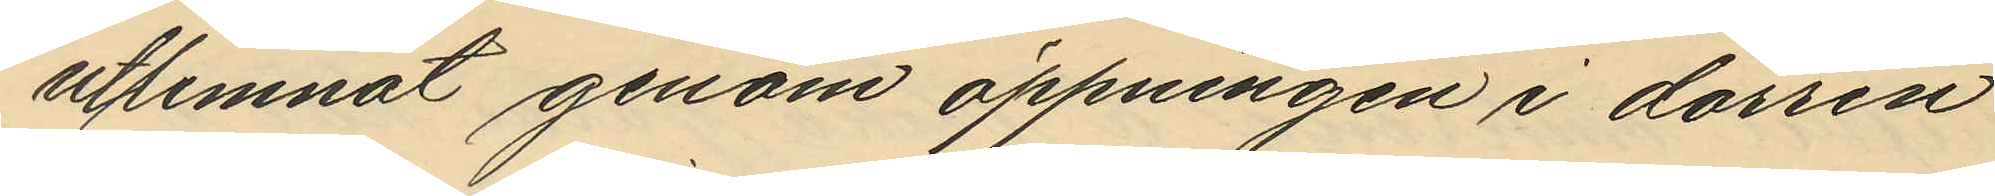utlemnat genom öppningen i dörren
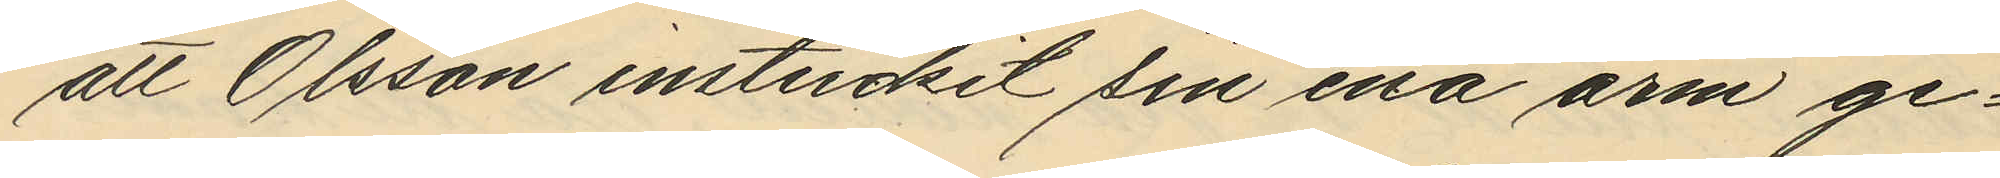att Olsson instuckit sin ena arm ge¬
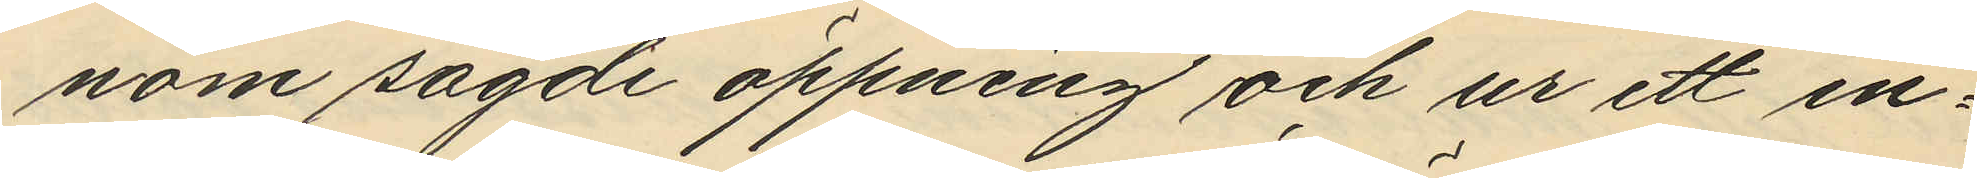nom sagde öppning och ur ett in¬
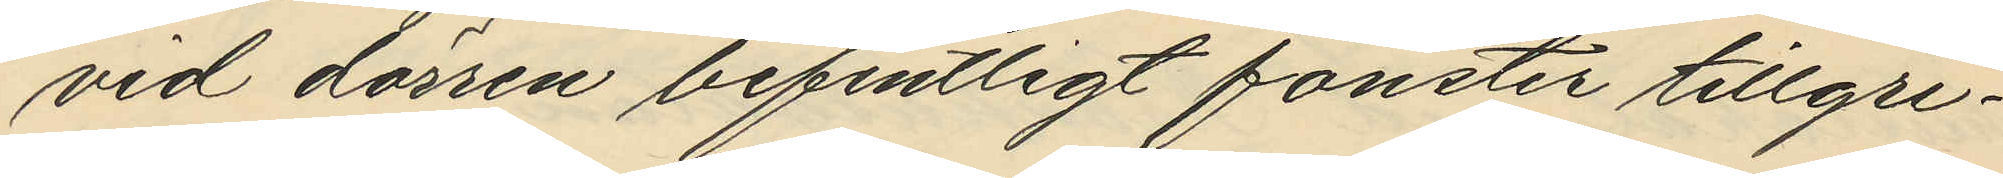vid dörren befintligt fönster tillgri¬
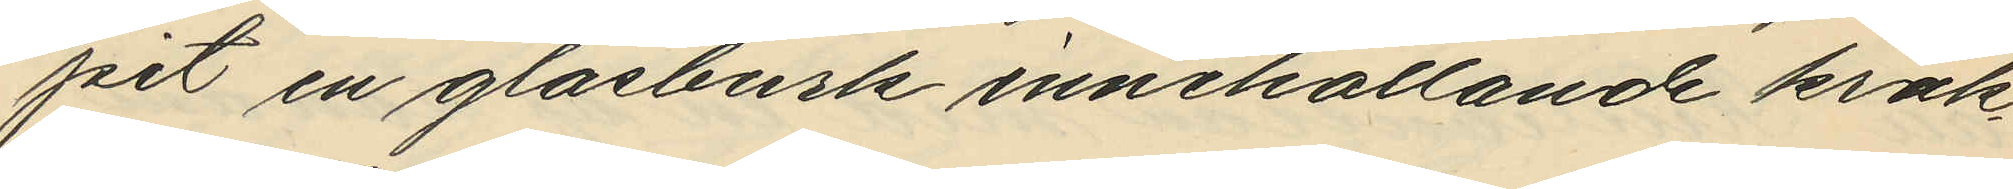pit en glasburk innehållande krak¬
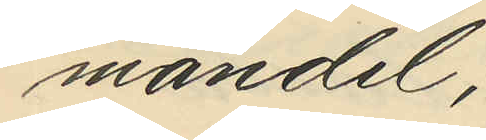mandel;
